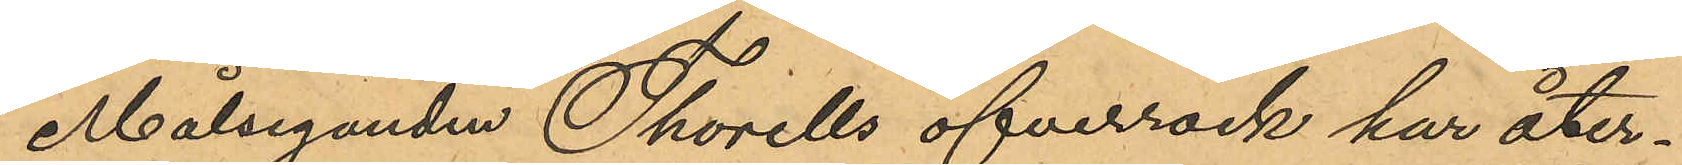Målseganden Thorells öfverrock har åter¬
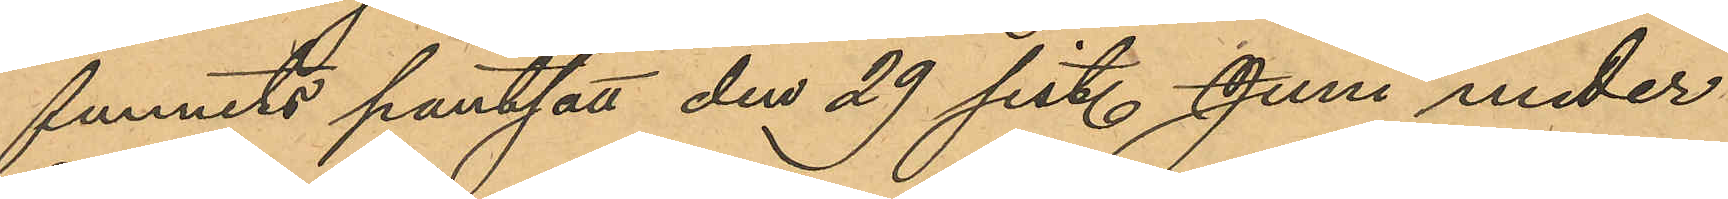funnits pantsatt den 29 sist. Juni under
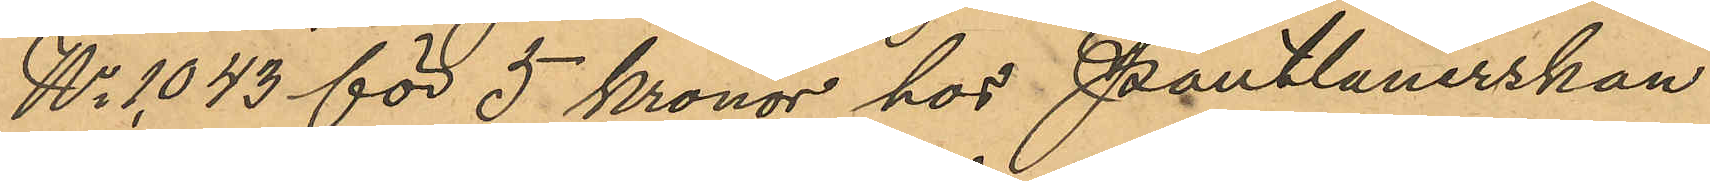No 1043 för 5 kronor hos Pantlånerskan
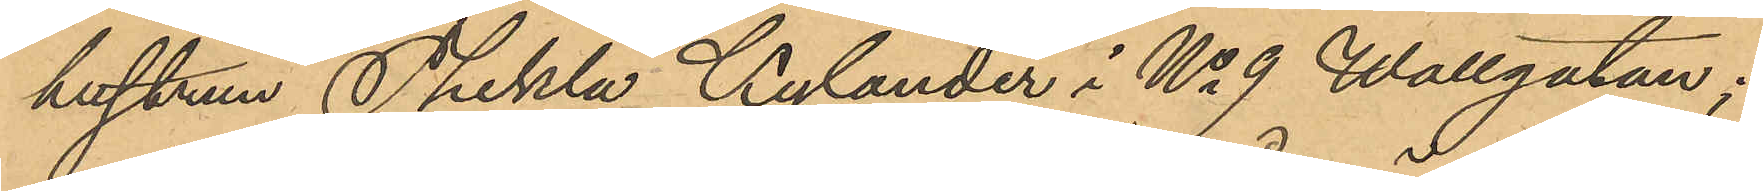hustrun Thekla Kylander i No 9 Wallgatan;
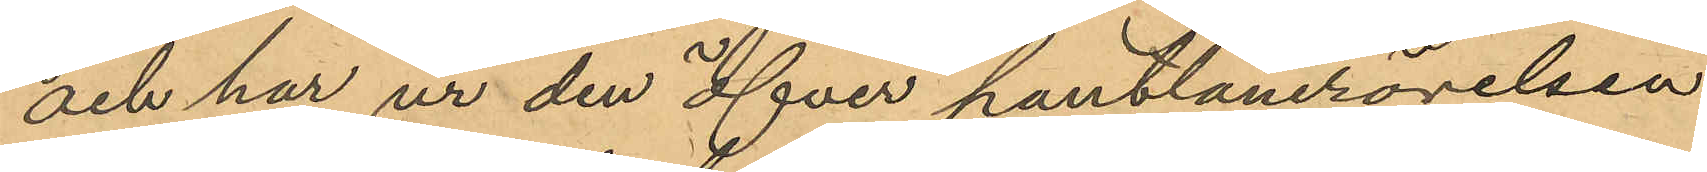och har ur den öfver pantlånerörelsen
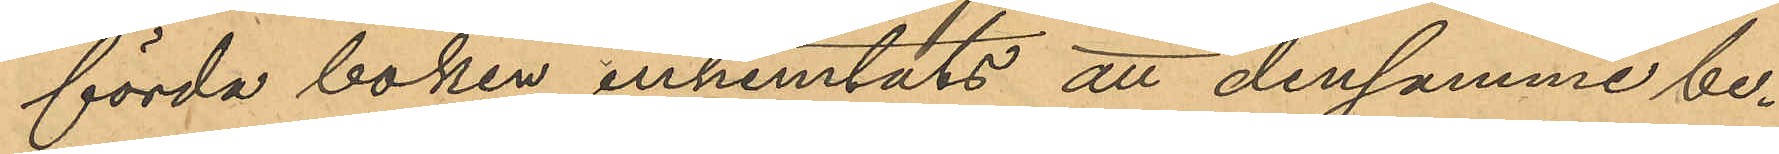förda boken inhemtats att densamma be¬
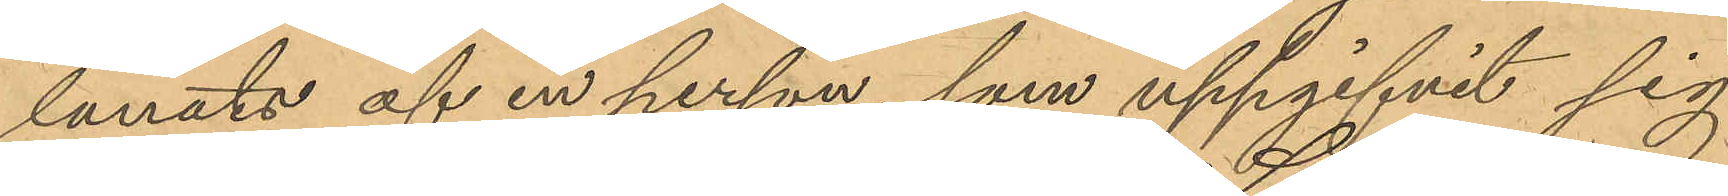lånats af en person, som uppgifvit sig
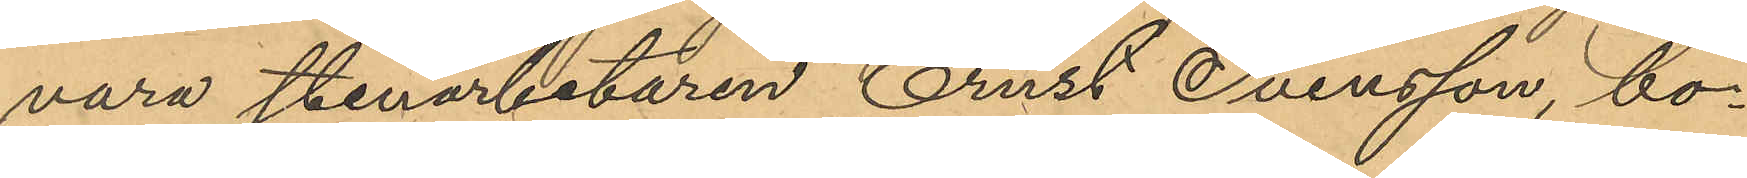vara stenarbetaren Ernst Svensson, bo¬
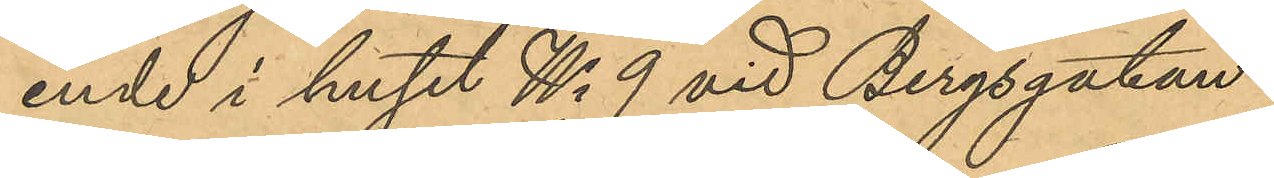ende i huset No 9 vid Bergsgatan.
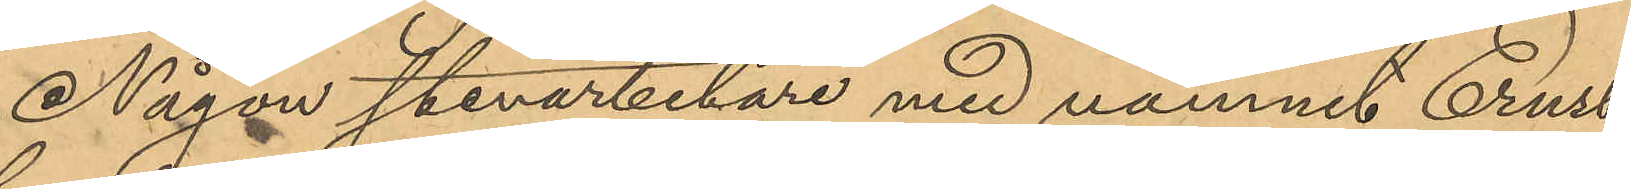Någon stenarbetare med namnet Ernst
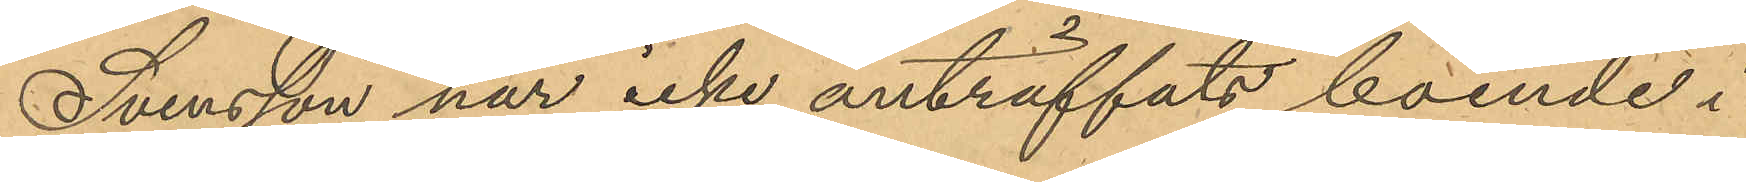Svensson när icke anträffats boende i
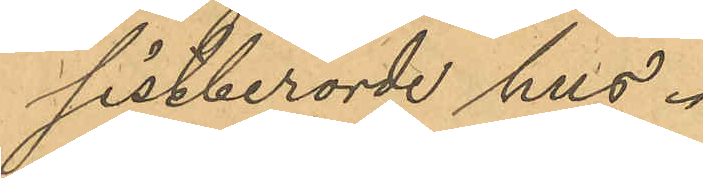sistberörde hus.
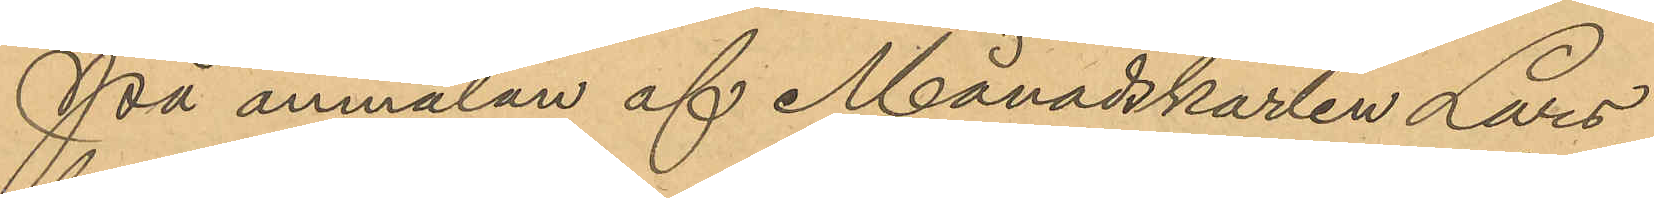På anmälan af Månadskarlen Lars¬
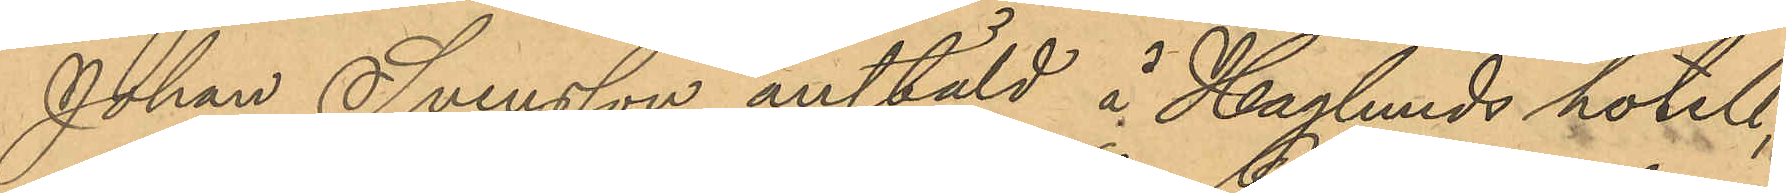Johan Svensson anstäld å Haglunds hotell,
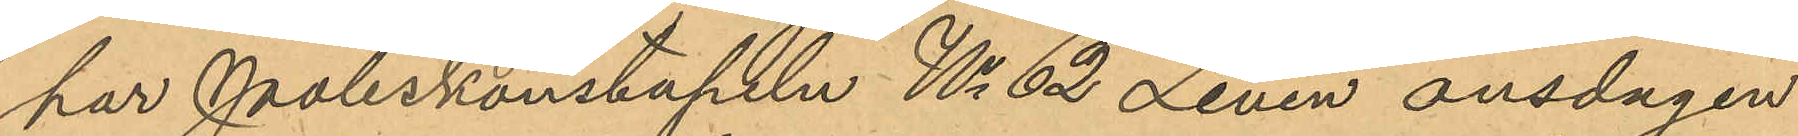har Poliskonstapeln No 62 Levén onsdagen
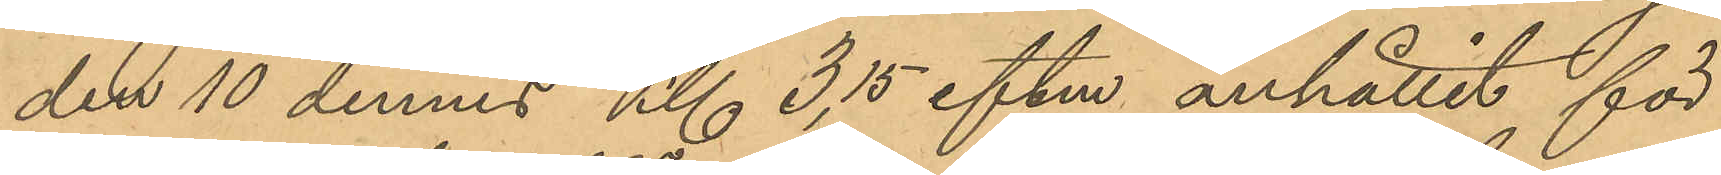den 10 dennes Kl 3,15 eftm anhållit för
